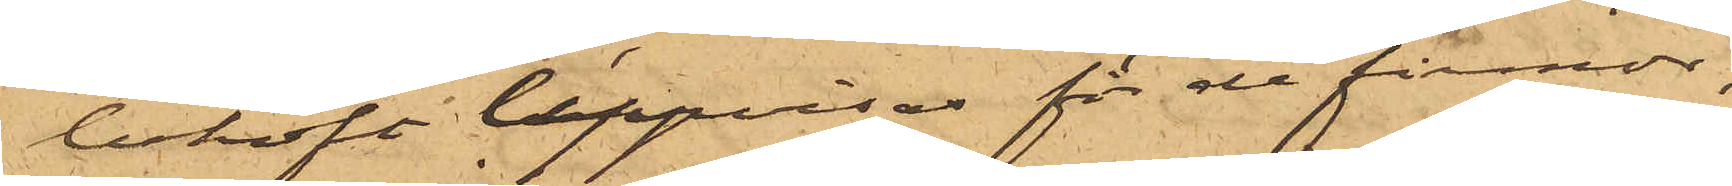behöft uppvisas för de firmor,
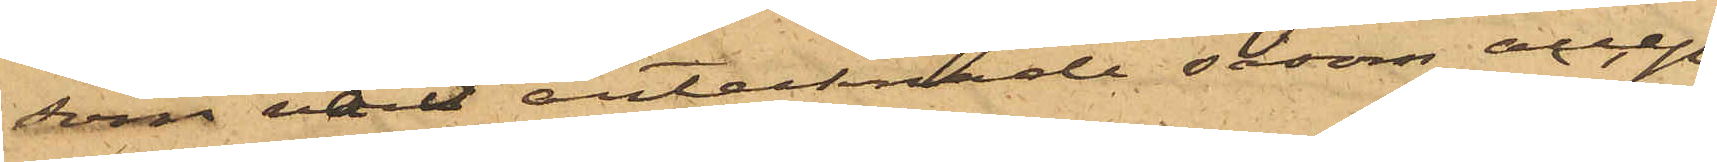som varit antecknade såsom accep¬
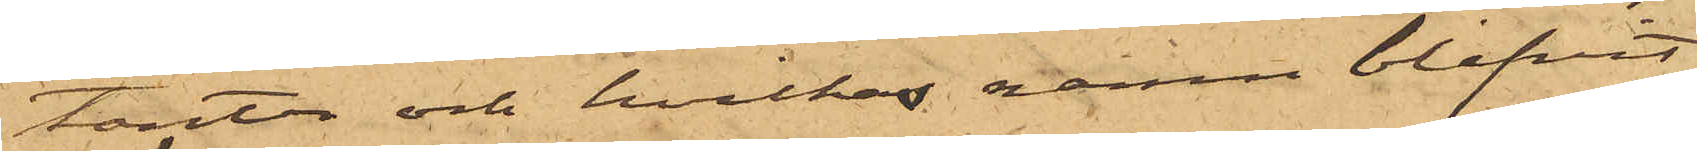tanter och hvilkas namn blifvit
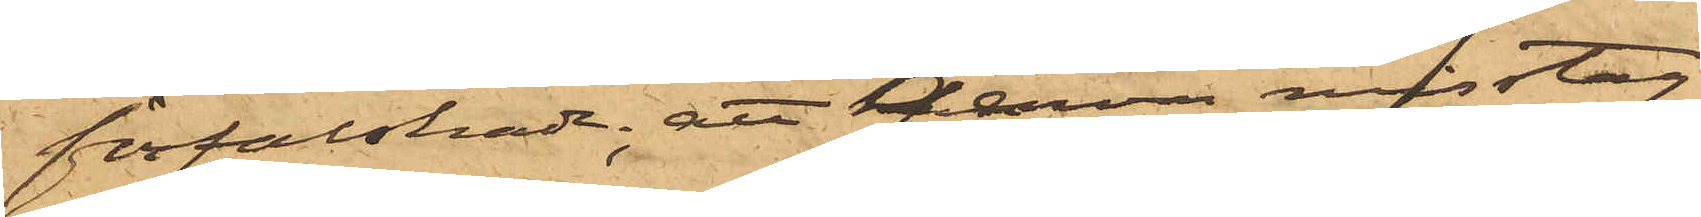förfalskade; att genom misstag
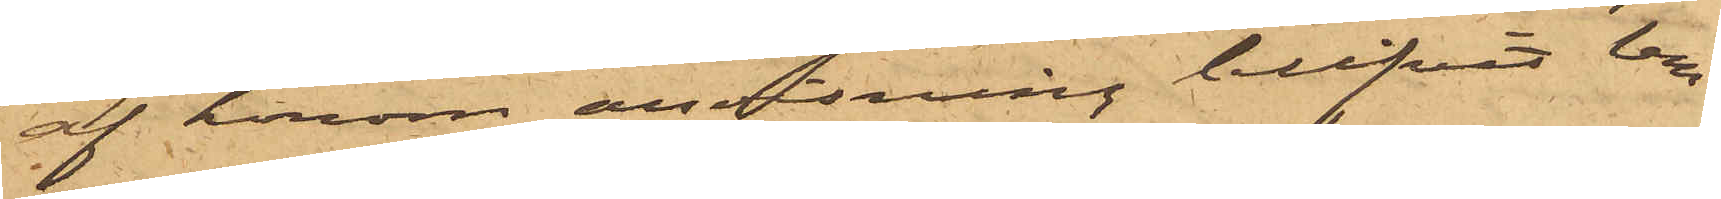af honom anvisning blifvit lem¬
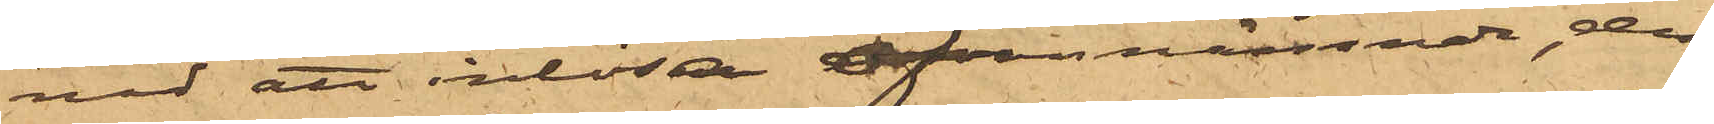nad att inlösa ofvannämnde, den
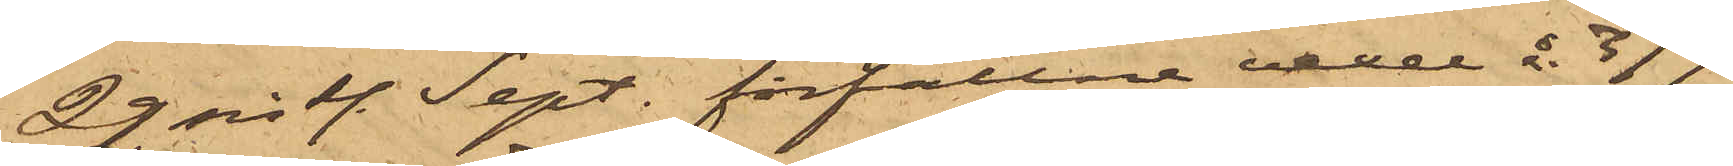22 sist. Sept. förfallne vexel å  377
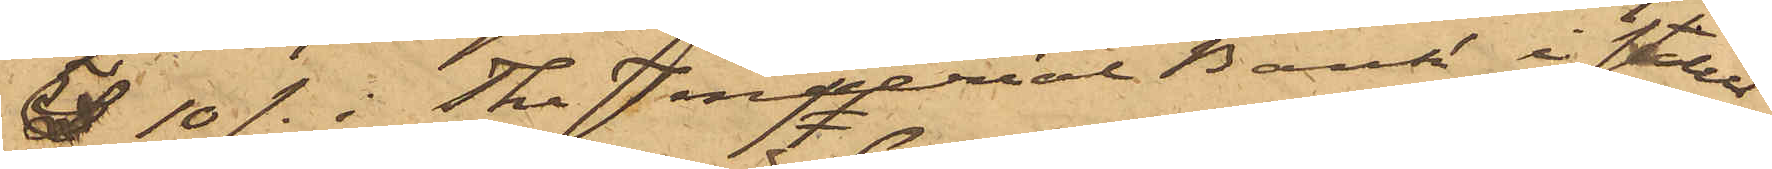£ 10/-  i The Imperial Bank i stället
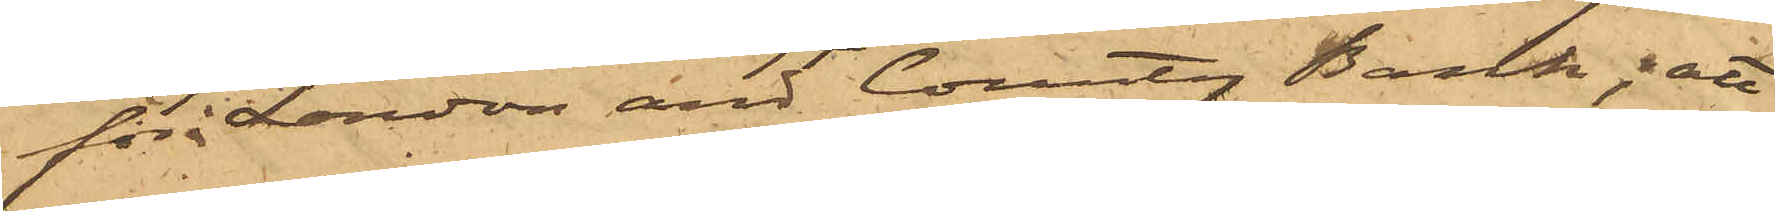för i London and County Bank; att
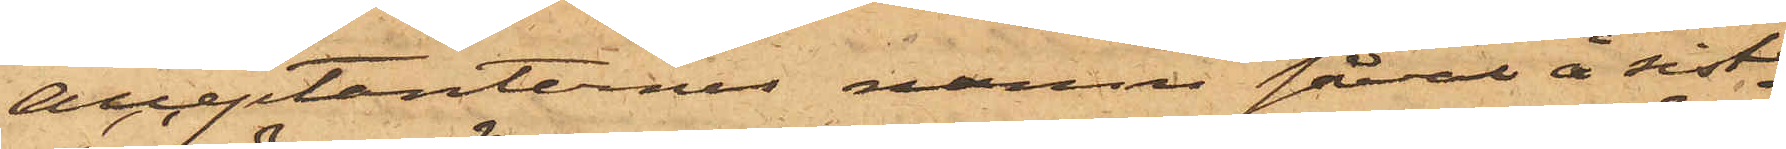acceptanternes namn såväl å sist¬
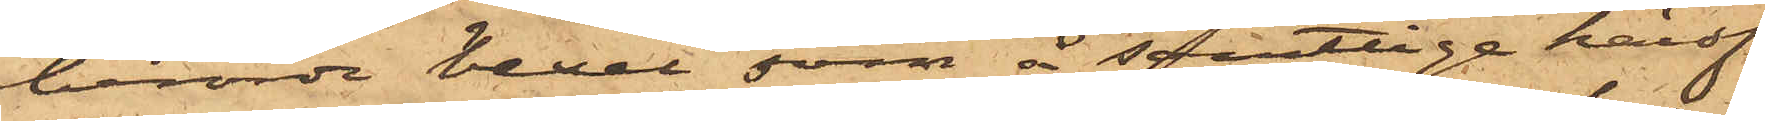berörde vexel som å samtlige härof¬
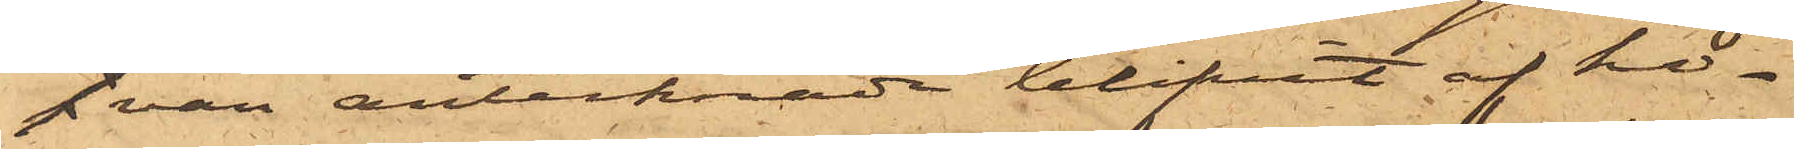van antecknade blifvit af ho¬
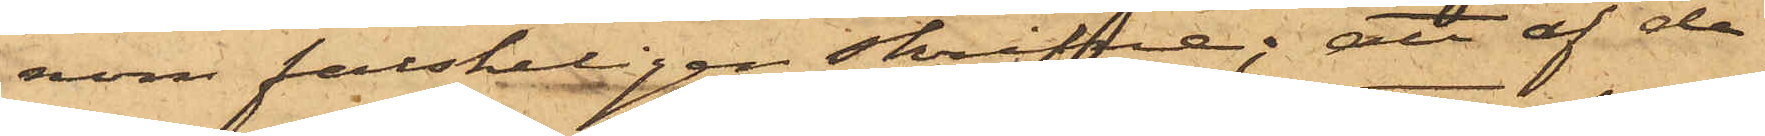nom falskeligen skrifne; att af de
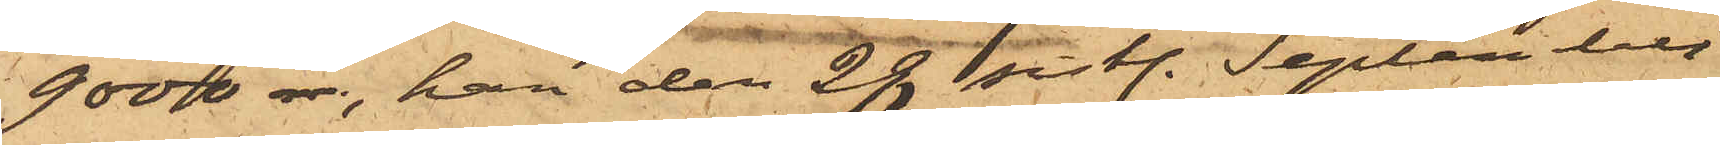9000 rdr, han den 28 sist. September
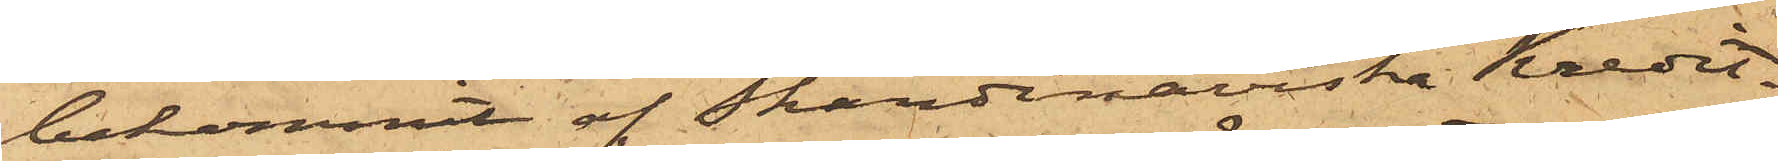bekommit af  Skandinaviska Kredit¬
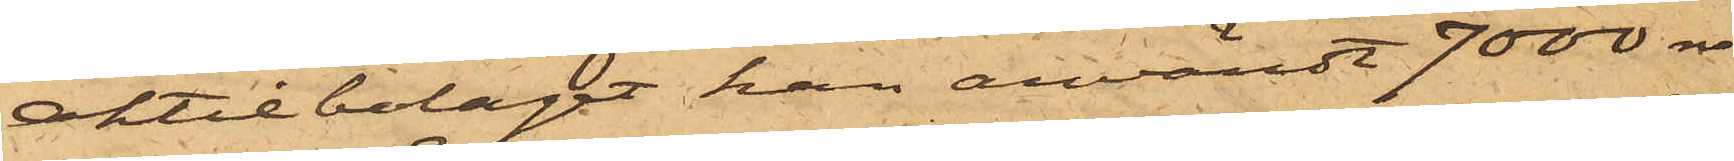aktiebolaget han användt 7000 rdr
